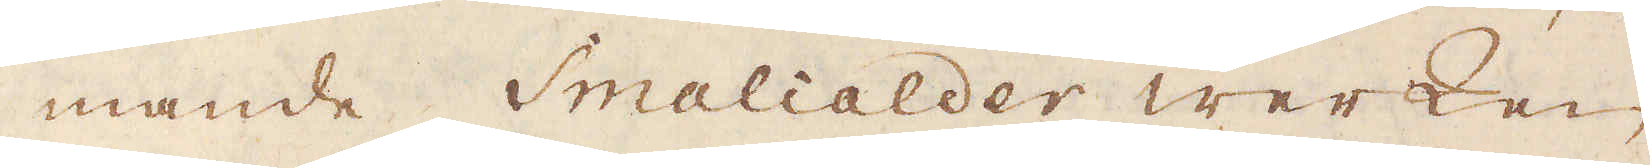mande Smalcalder werken
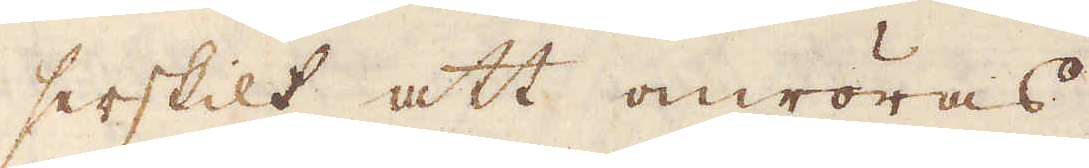serskilt att omröras.
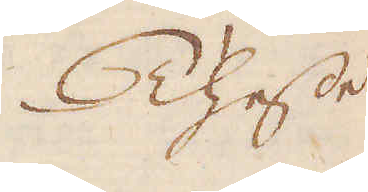Thesse
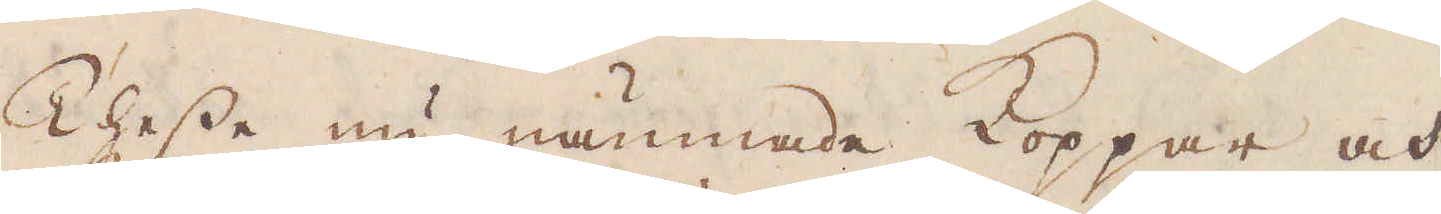Thesse nu nämnade Koppar och
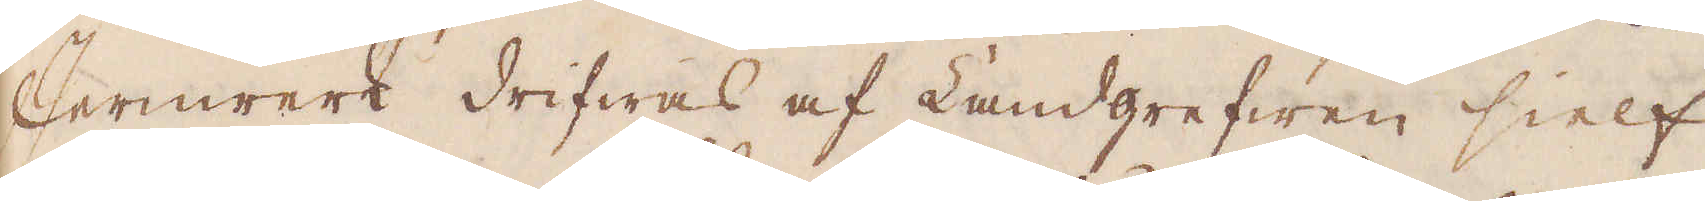Jernwerk drifwas af Landgrefwen sielf
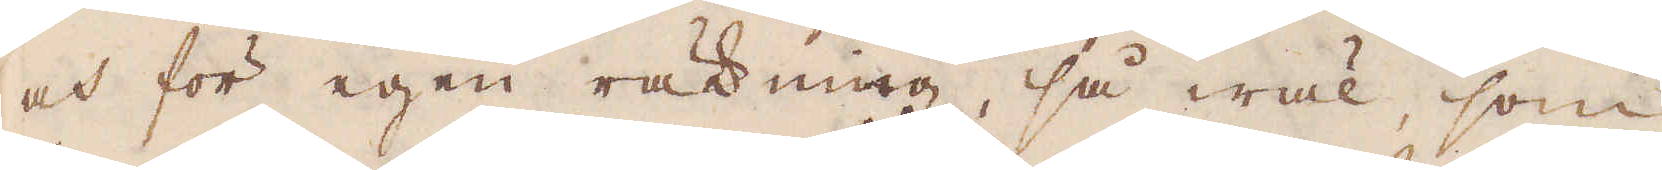och för egen räkning, så wäl, som
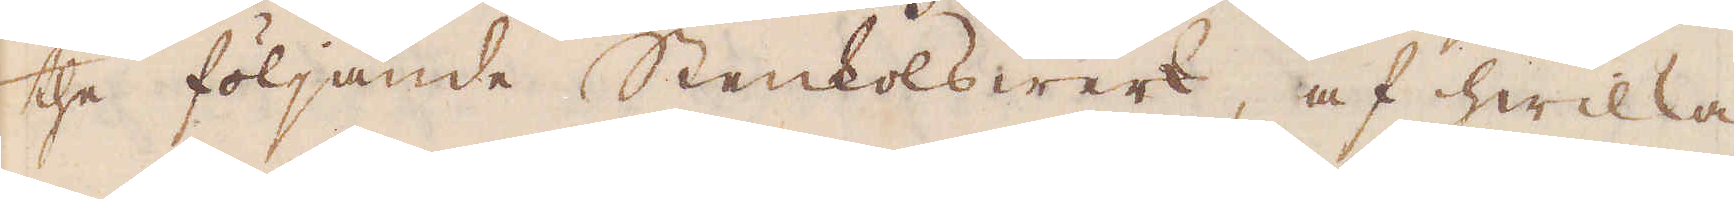the följande Stenkolswerk, af hwilka
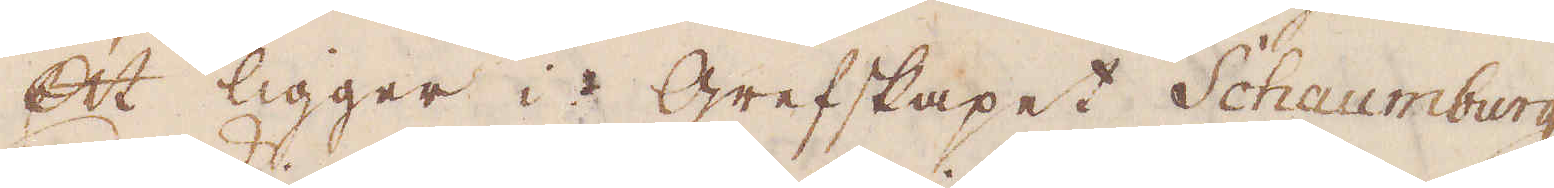ett ligger i Grefskapet Schaumburg,
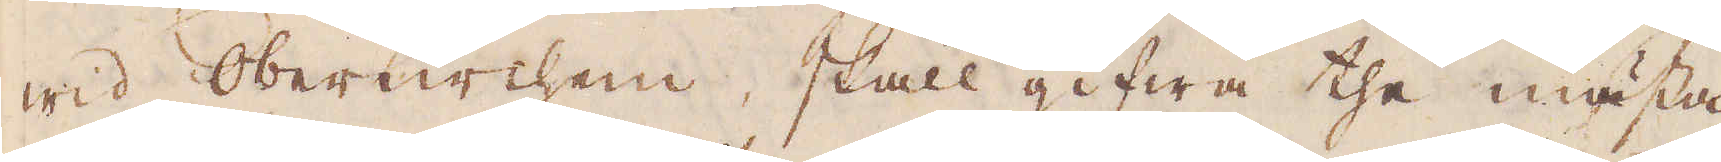wid OberKirchen, skall gifwa the mästa
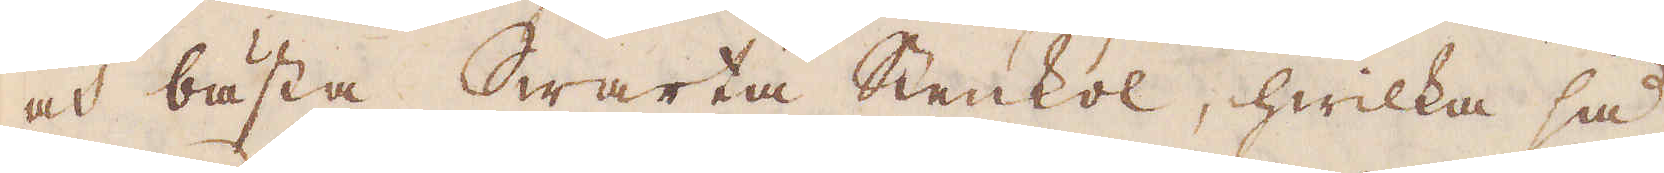och bästa Swarta Stenkol, hwilka så
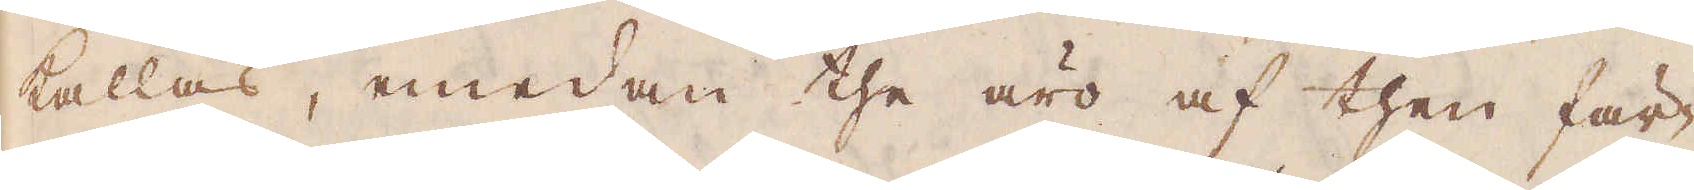kallas, emedan the äro af then fär-
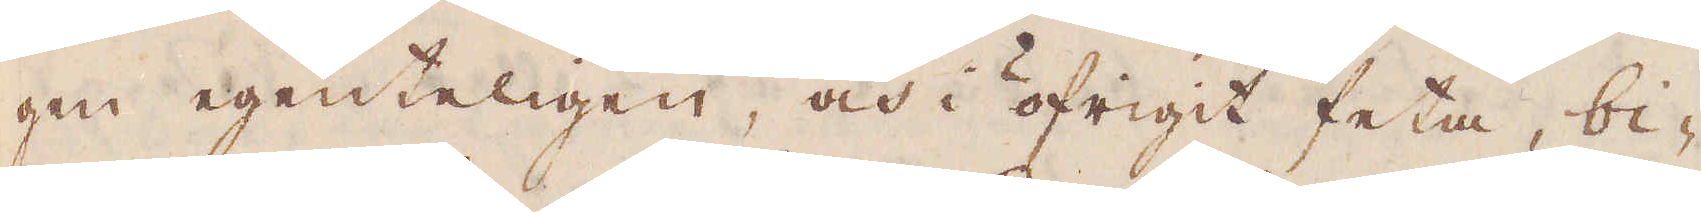gen egenteligen, och i öfrigit feta, bi-
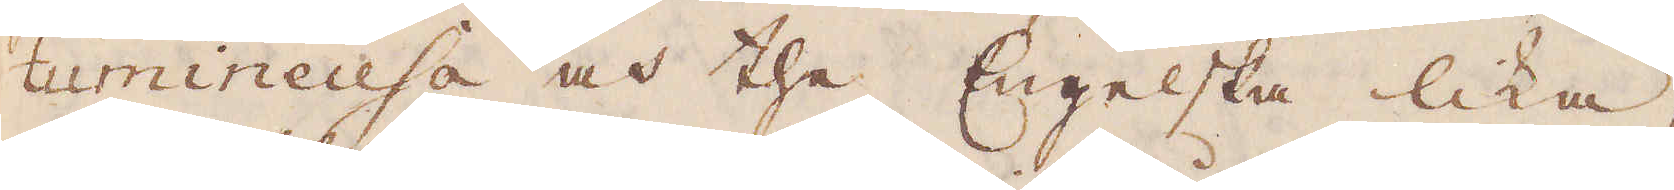tumineusa och the Engelska lika,
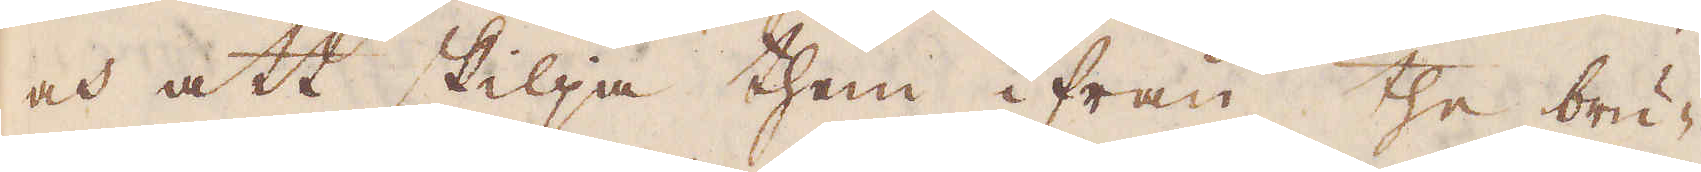och att skilja them ifrån the bru-
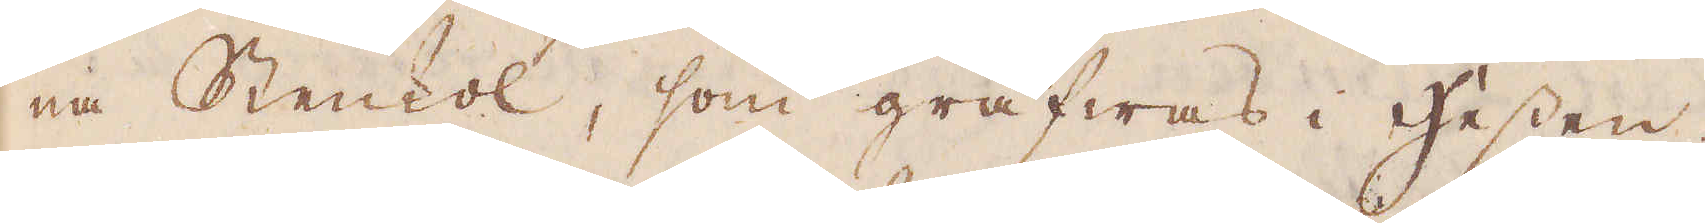na Stenkol, som gräfwas i Hessen.
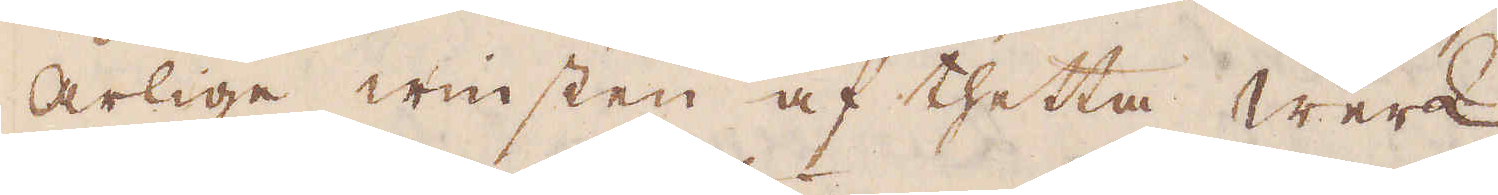Årlige winsten af thetta werk
